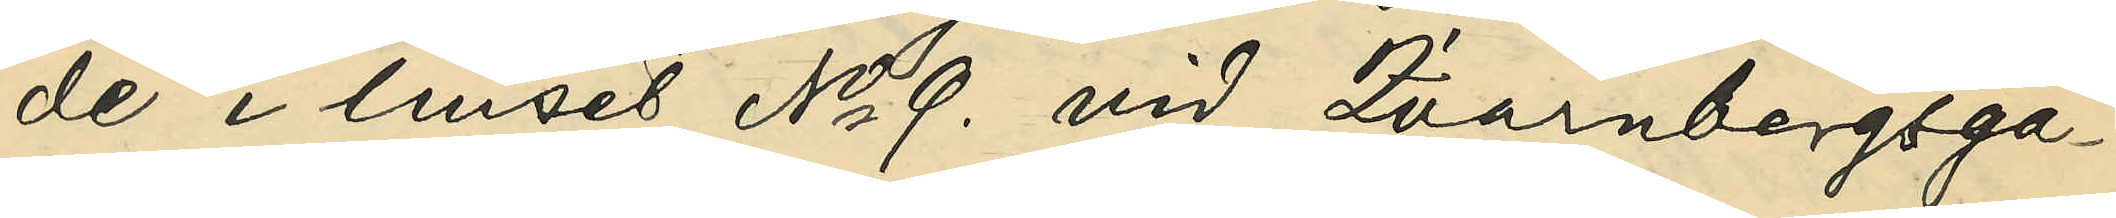de i huset No 9. vid Qvarnbergsga¬
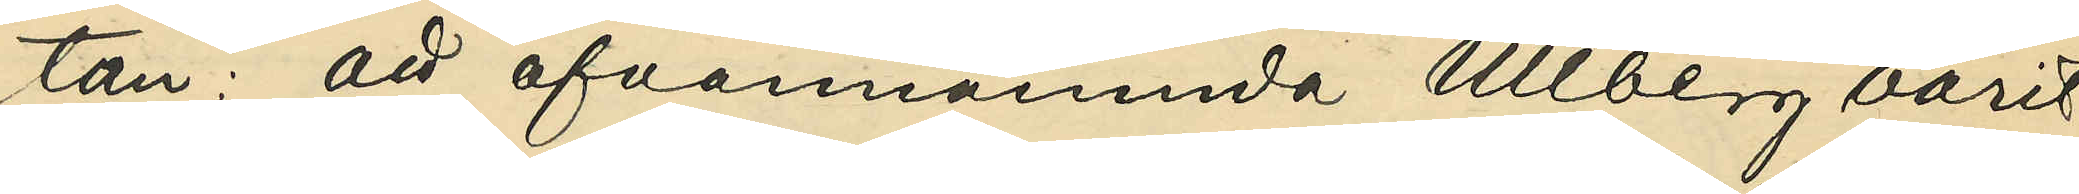tan: att ofvannämnde Ullberg varit
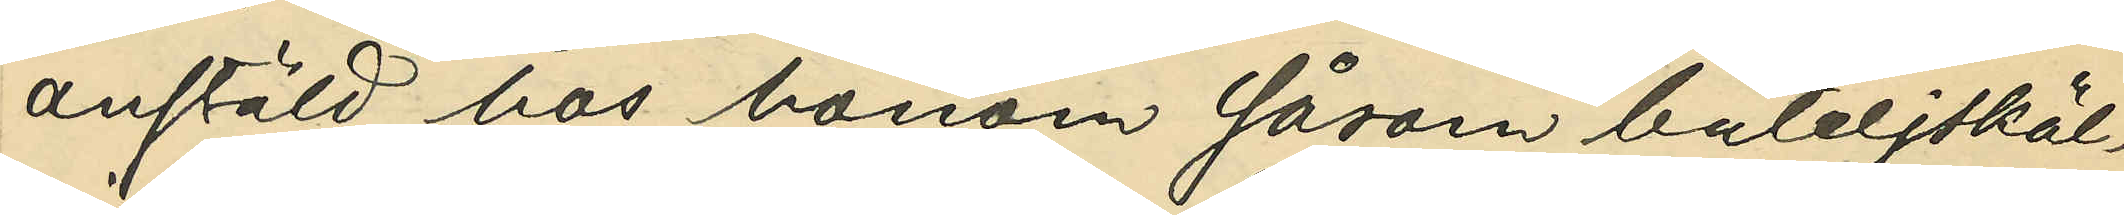anställd hos honom såsom buteljsköl¬
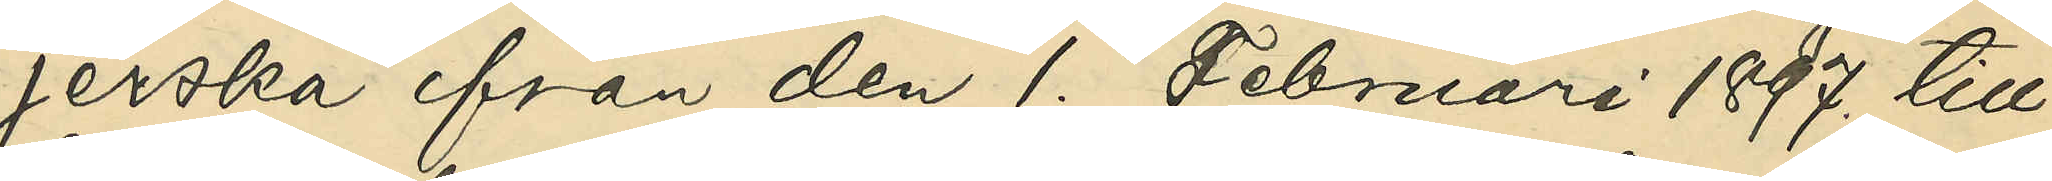jerska från den 1. Februari 1897. till
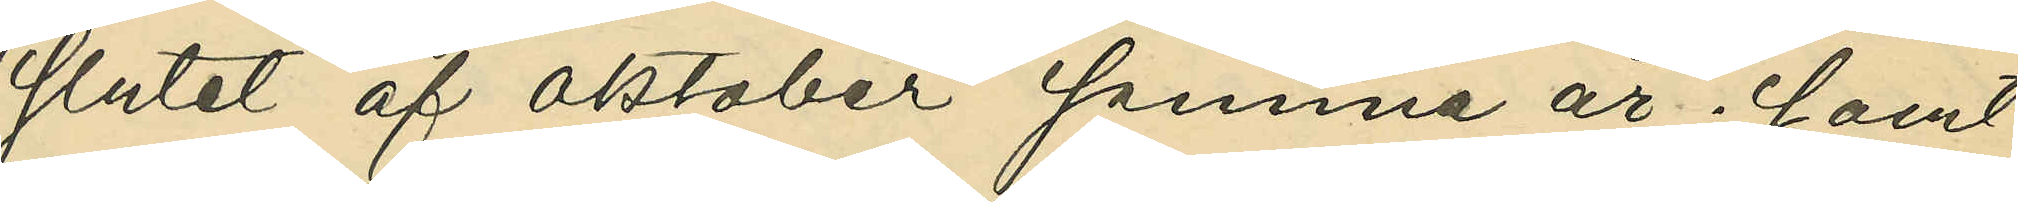slutet af oktober samma år; samt
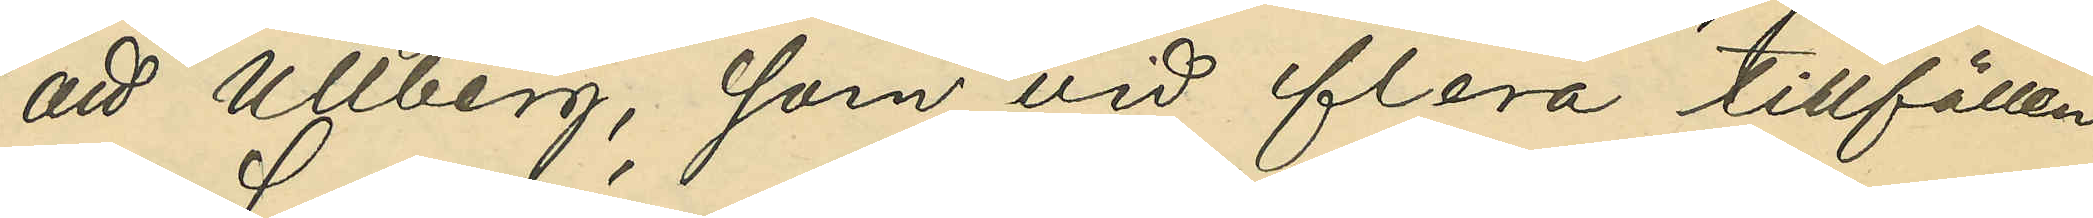att Ullberg, som vid flera tillfällen
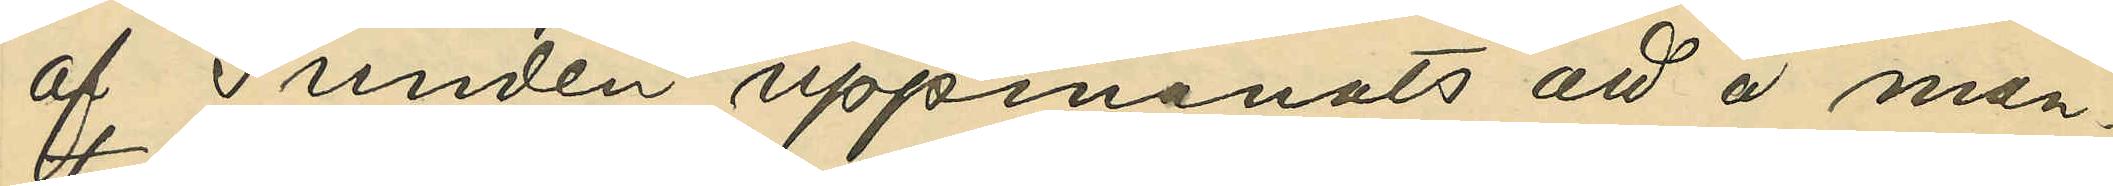af Sundén uppmanats att å man¬
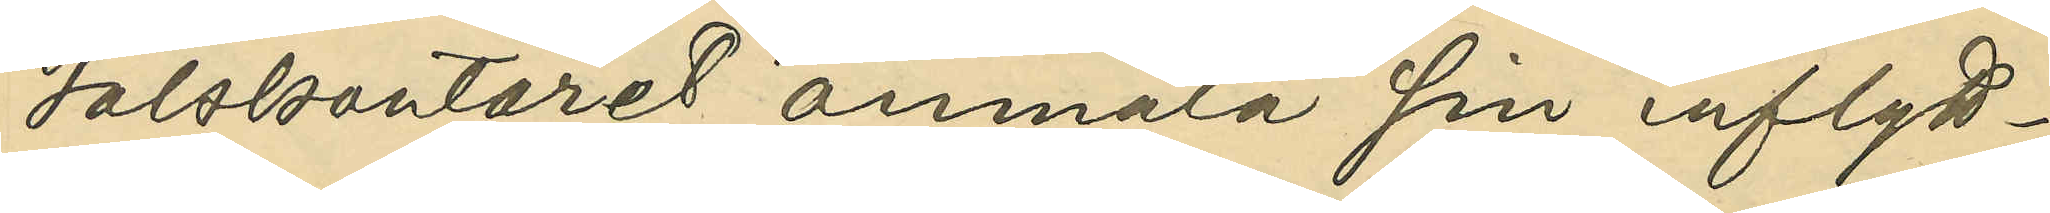talskontoret anmäla sin inflytt¬
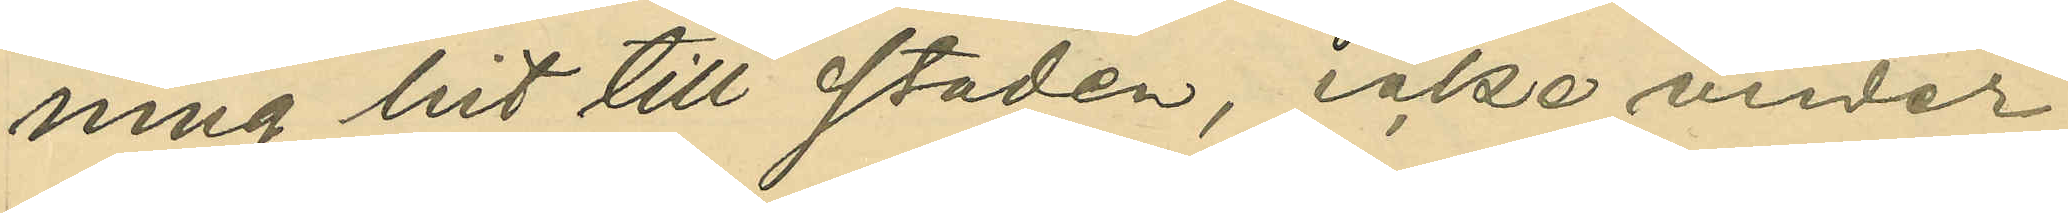ning hit till staden, icke under
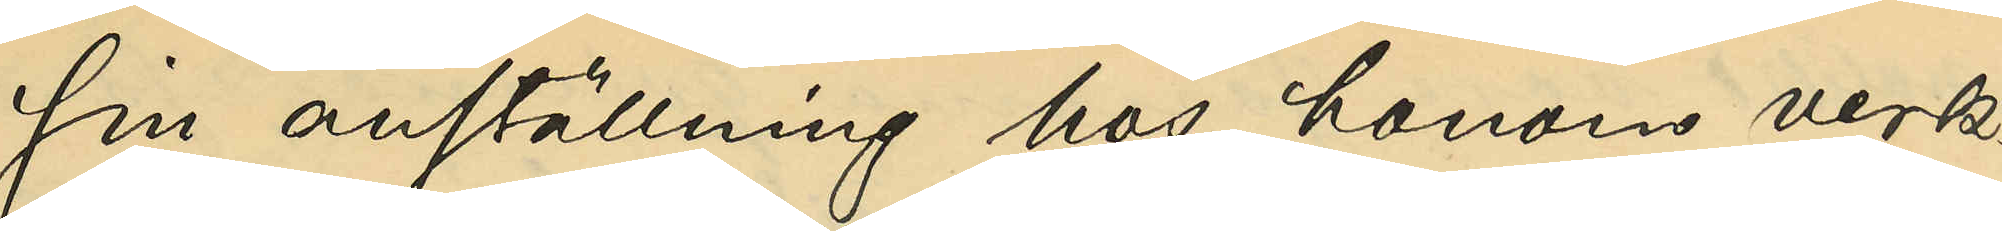sin anställning hos honom verk¬
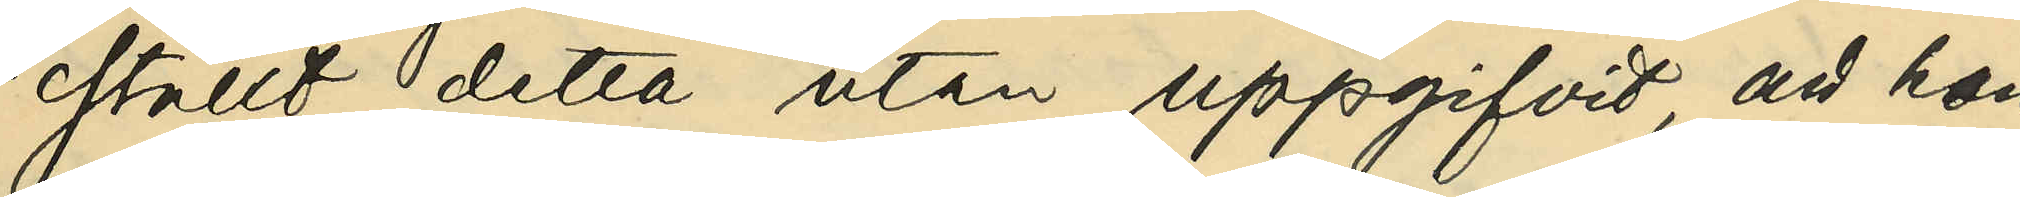ställt detta utan uppgifvit, att hon
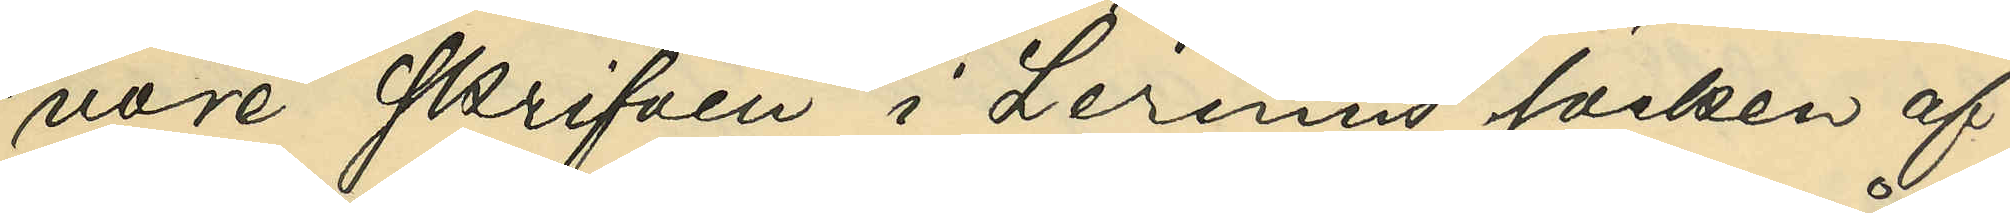vore skrifven i Lerums socken af
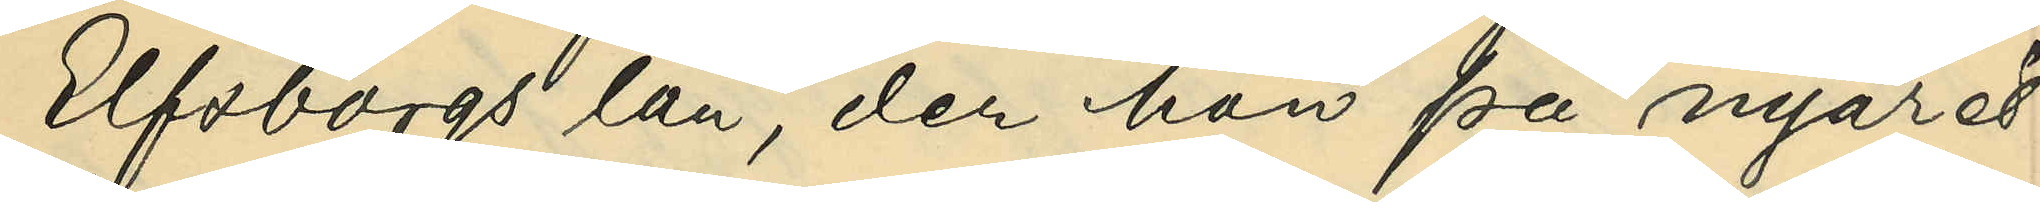Elfsborgs län, der hon på nyåret
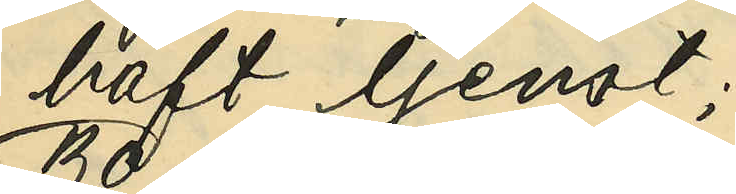haft tjenst;
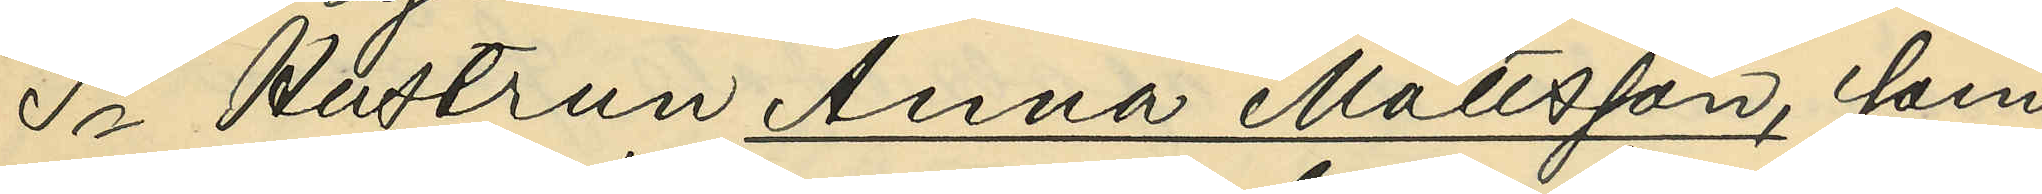3o Hustrun Anna Mattsson, som
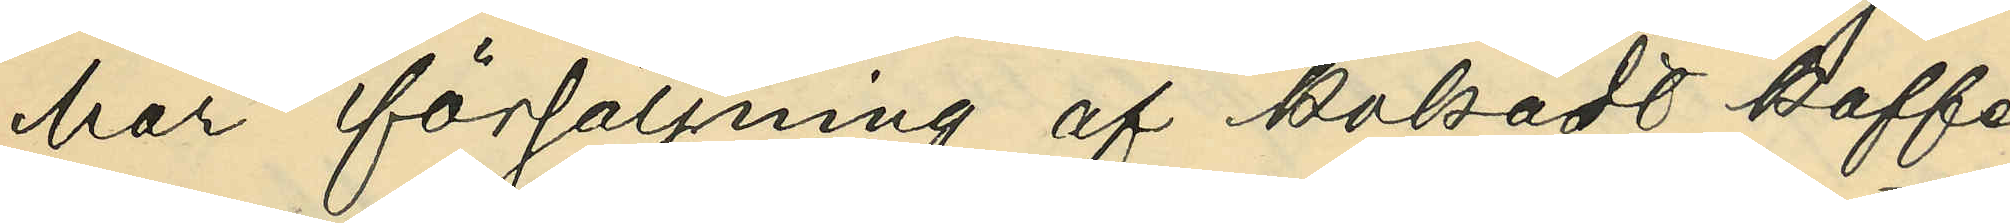har försäljning af kokadt kaffe
